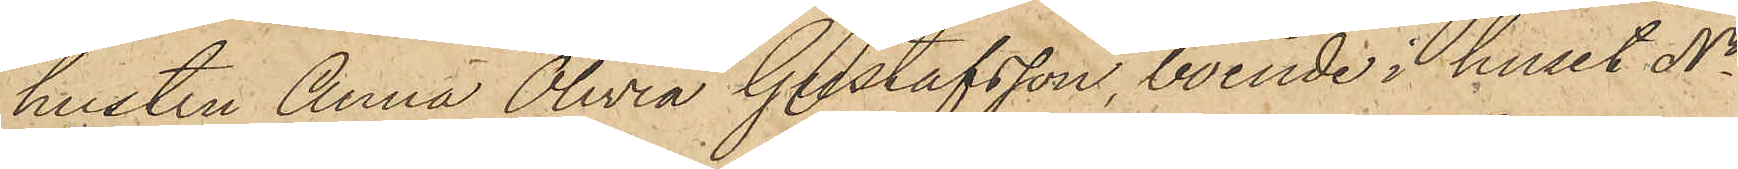hustru Anna Olivia Gustafsson, boende i huset No
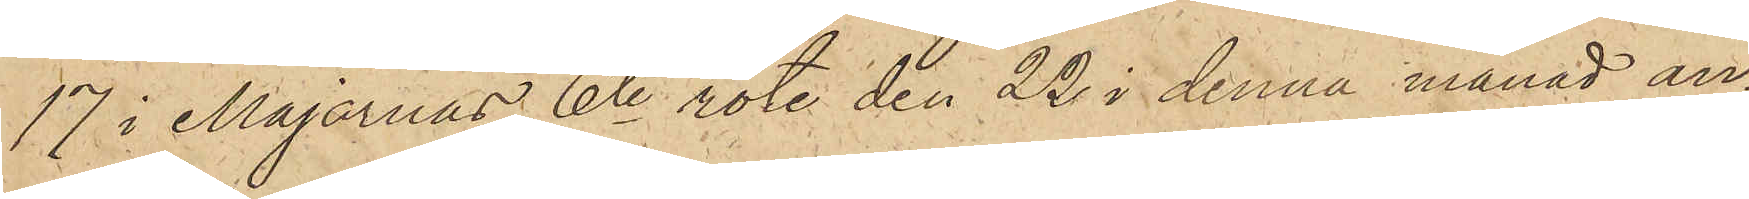17 i Majornas 6te rote den 22 i denna månad an¬
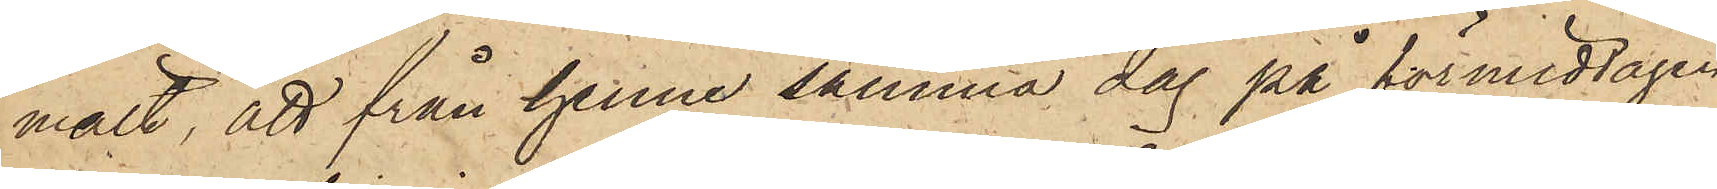mält, att från henne samma dag på förmiddagen
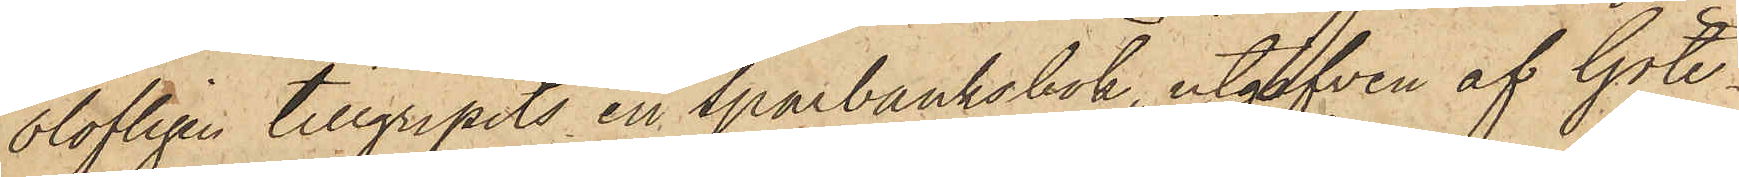olofligen tillgripits en sparbanksbok, utgifven af Göte¬
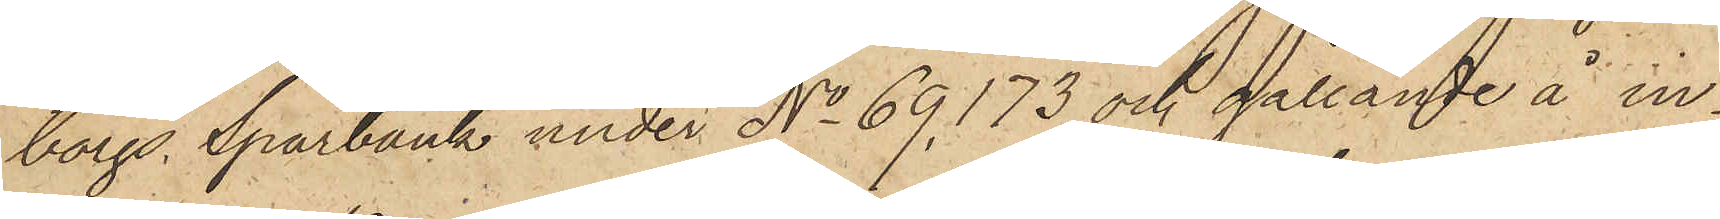borgs Sparbank under No 69.173 och gällande å in¬
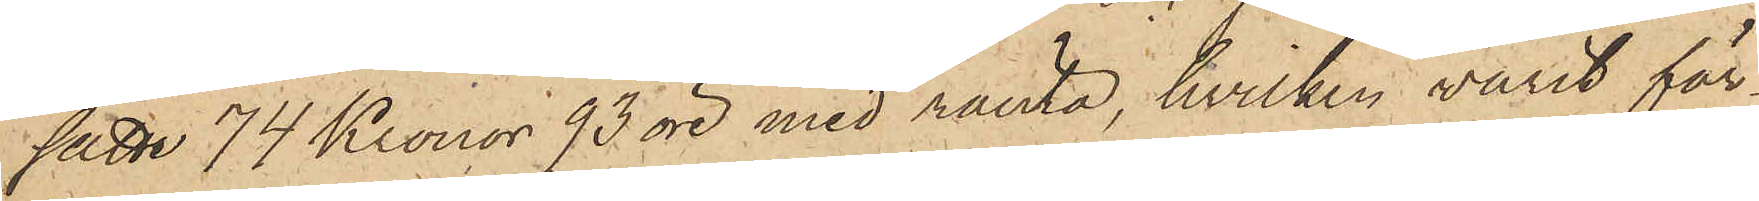satte 74 Kronor 93 öre med ränta, hvilken varit för¬
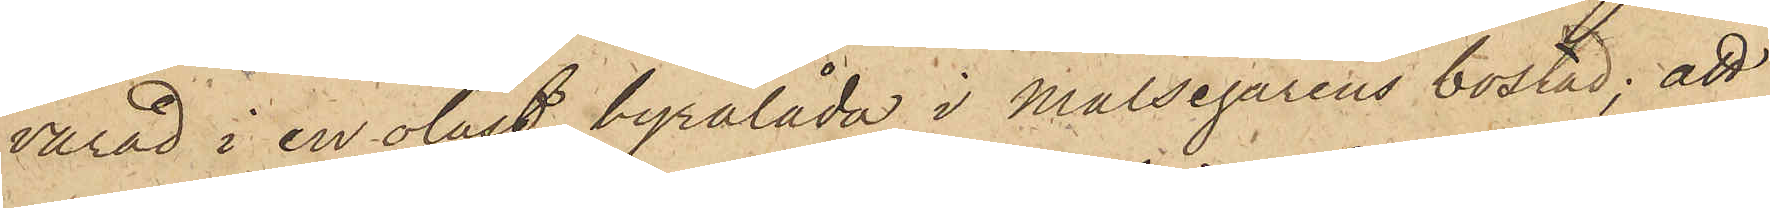varad i en olåst byrålåda i Målsegarens bostad; att
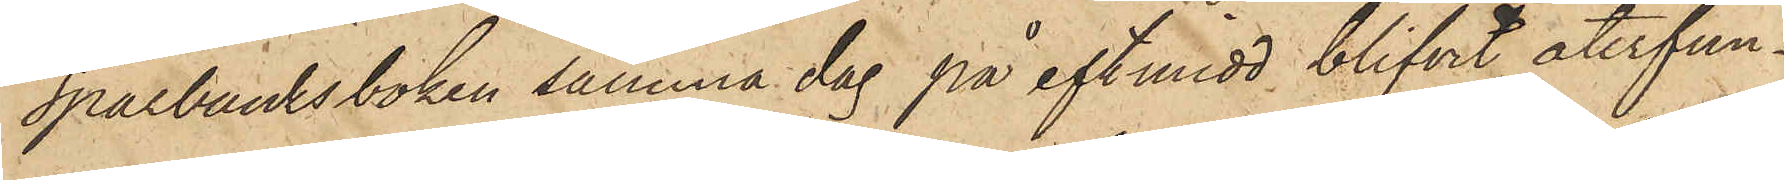sparbanksboken samma dag på eftmidd, blifvit återfun¬
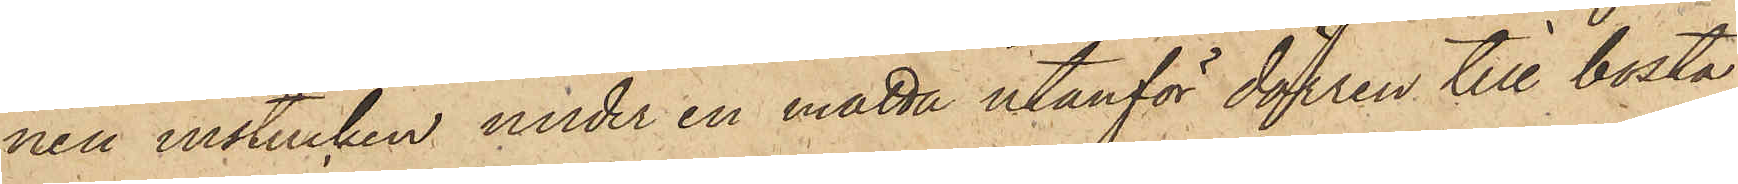nen instucken under en matta utanför dörren till bosta¬
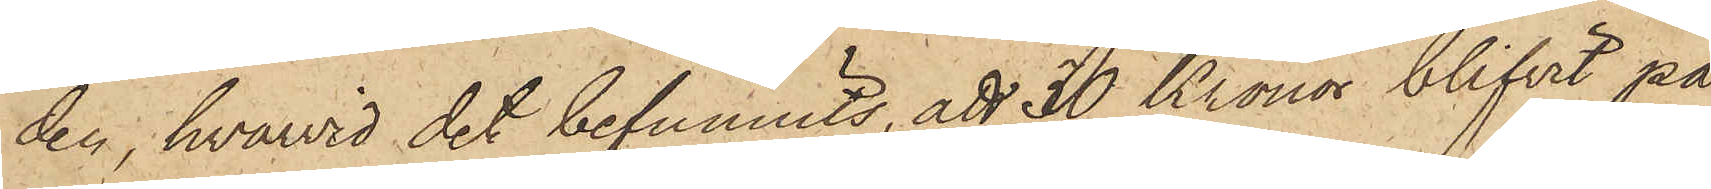den, hvarvid det befunnits, att 30 Kronor blifvit på
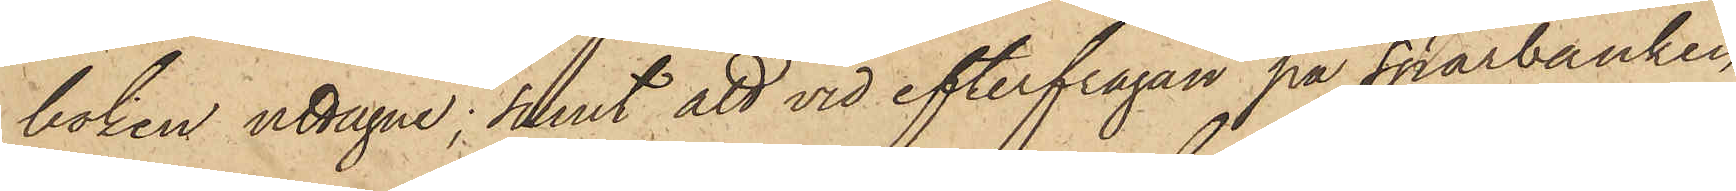boken uttagne; samt att vid efterfrågan på sparbanken,
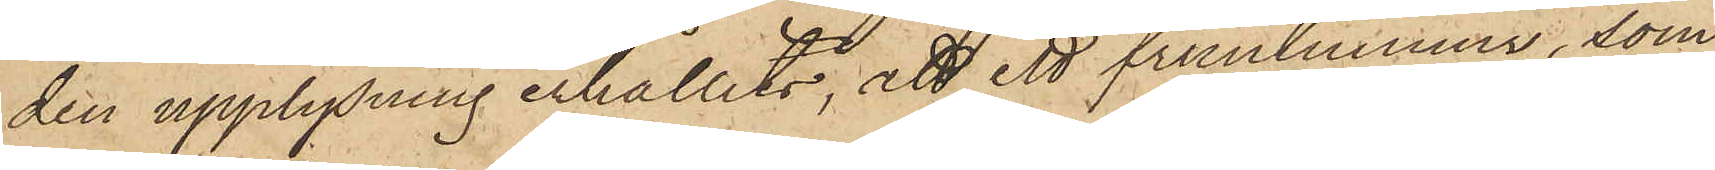den upplysning erhållits, att ett fruntimmer, som
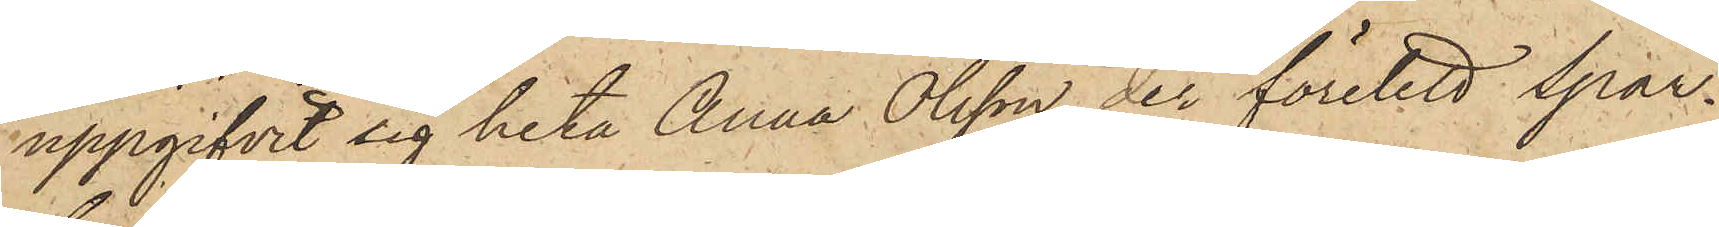uppgifvit sig heta Anna Olsson, der företett Spar¬
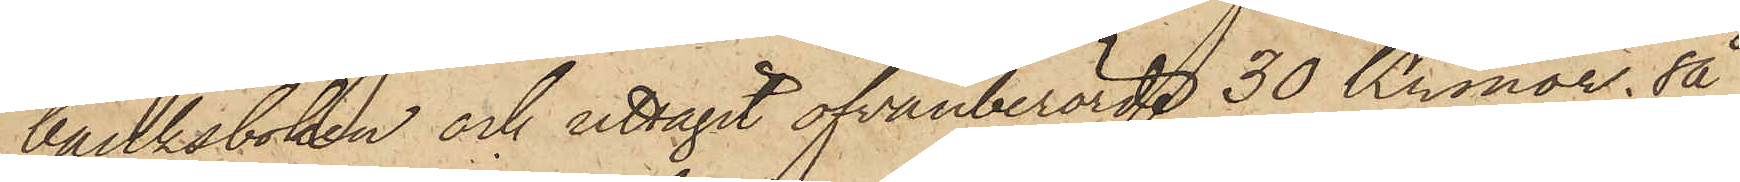banksboken och uttagit ofvanberörde 30 Kronor; så
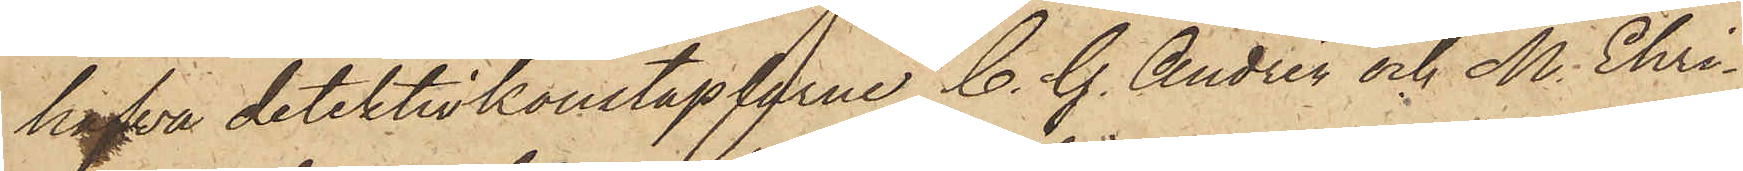hafva detektivkonstaplarne C. G. Andrén och M. Ehri¬
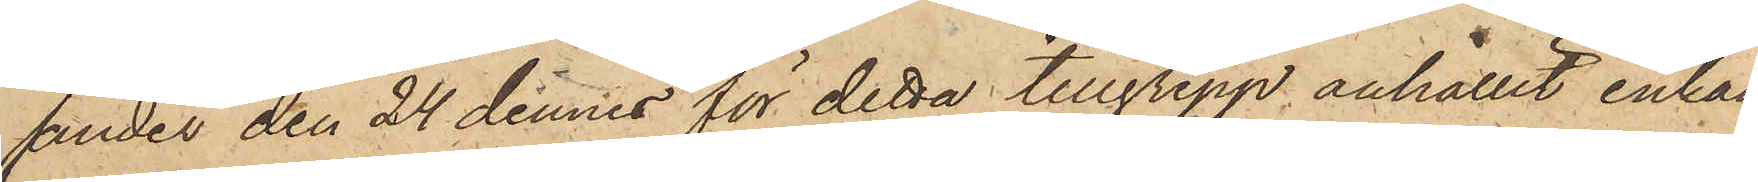ander den 24 dennes för detta tillgrepp anhållit enkan
